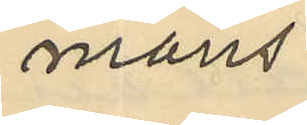mans
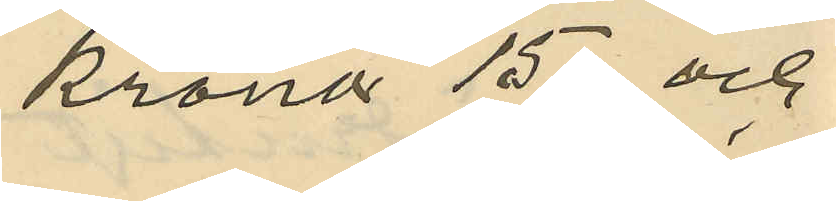kronor 15: och
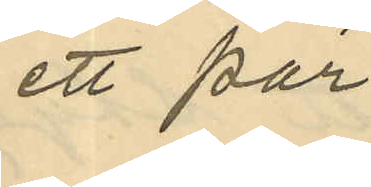ett par
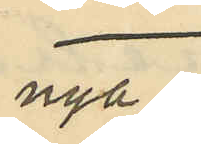nya
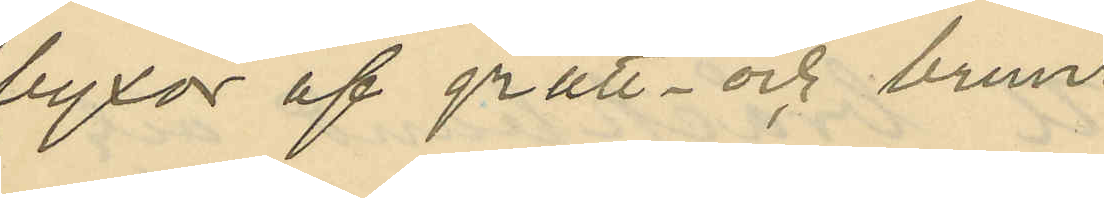byxor af grått- och brun¬
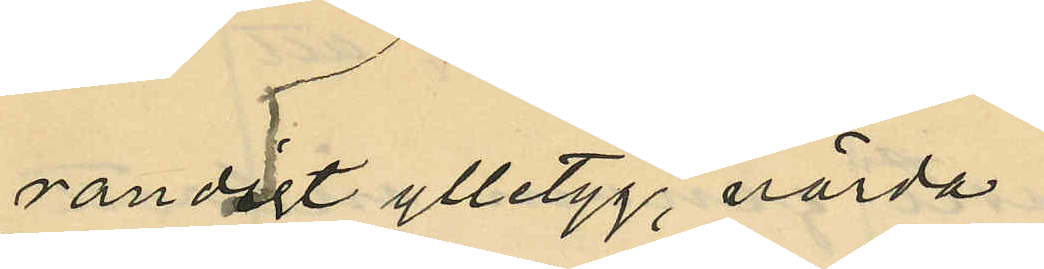randigt ylletyg, värda
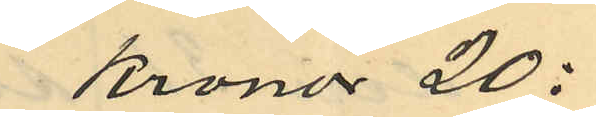Kronor 20:
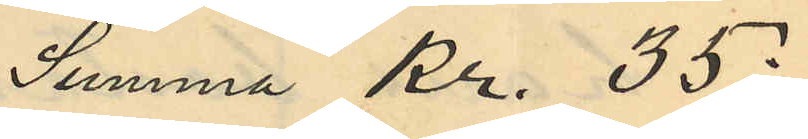Summa Kr. 35:
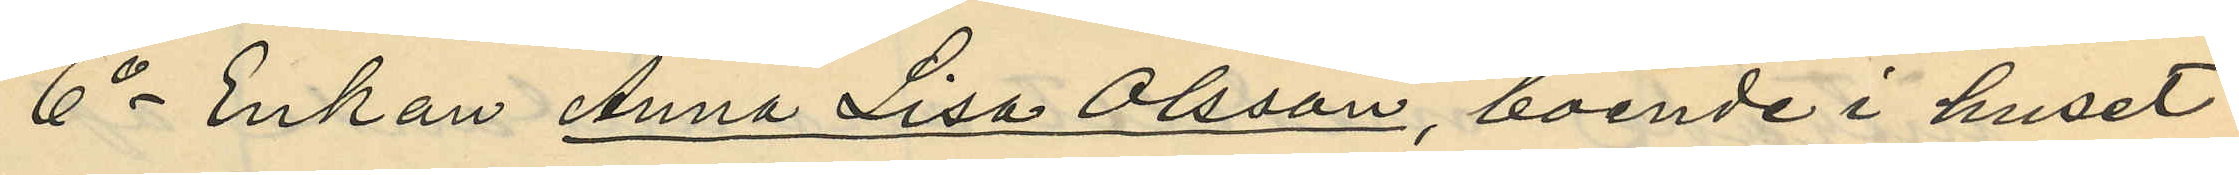6o Enkan Anna Lisa Olsson, boende i huset
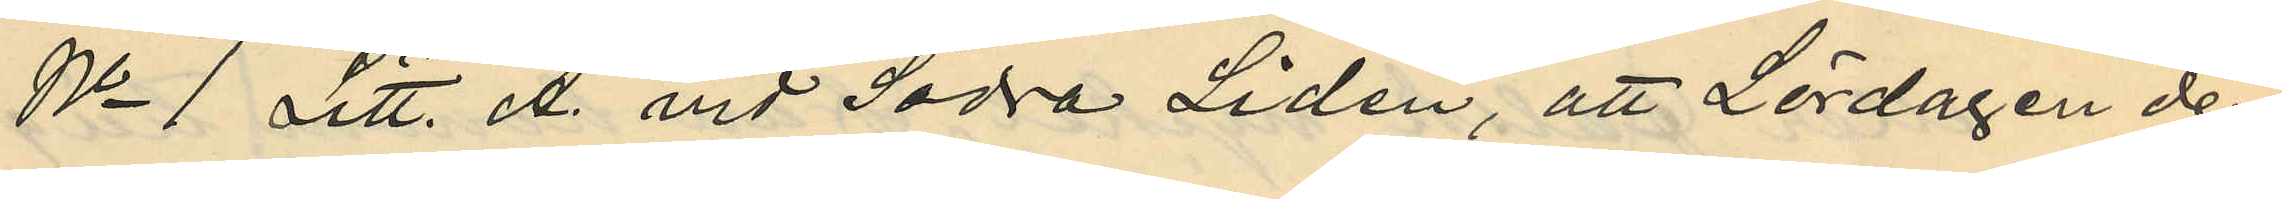No 1 Litt. A. vid Södra Liden, att Lördagen den
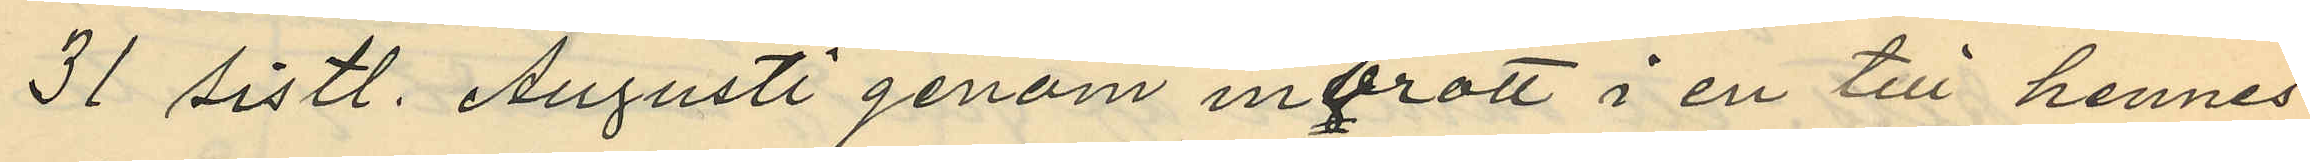31 sistl. Augusti genom inbrott i en till hennes
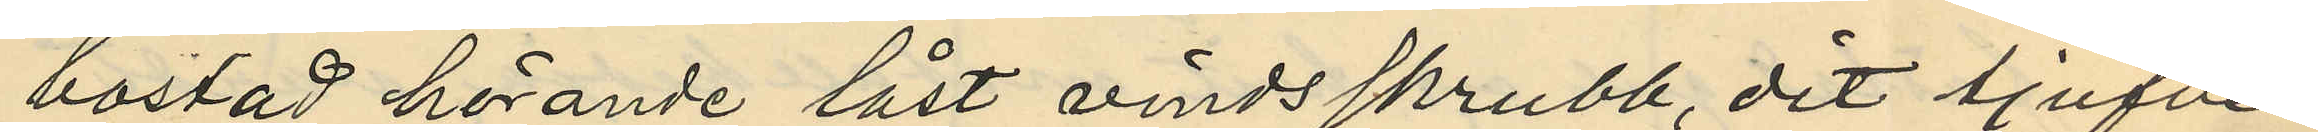bostad hörande låst vindsskrubb, dit tjufven
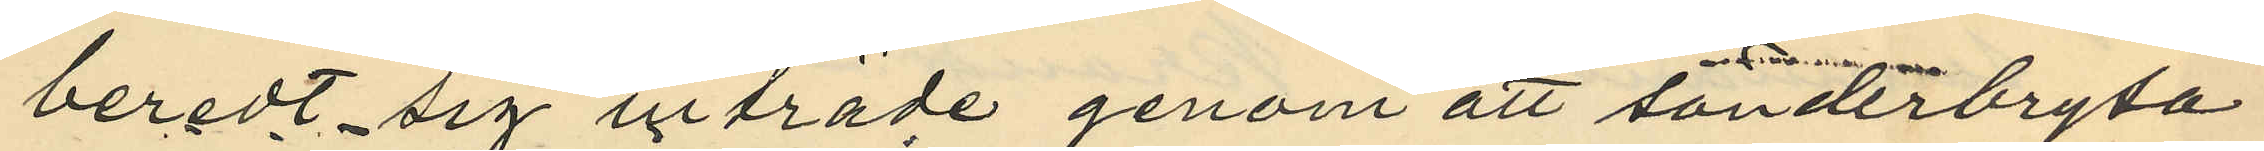beredt sig illträde genom att sönderbryta
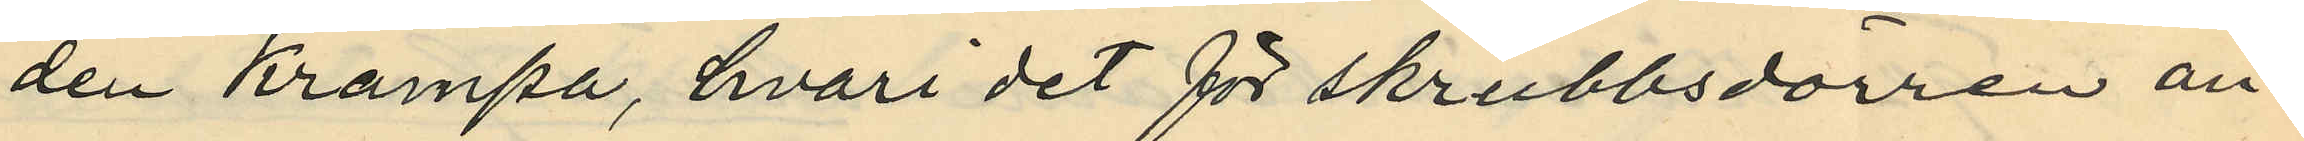den krampa, hvari det för skrubbsdörren an¬
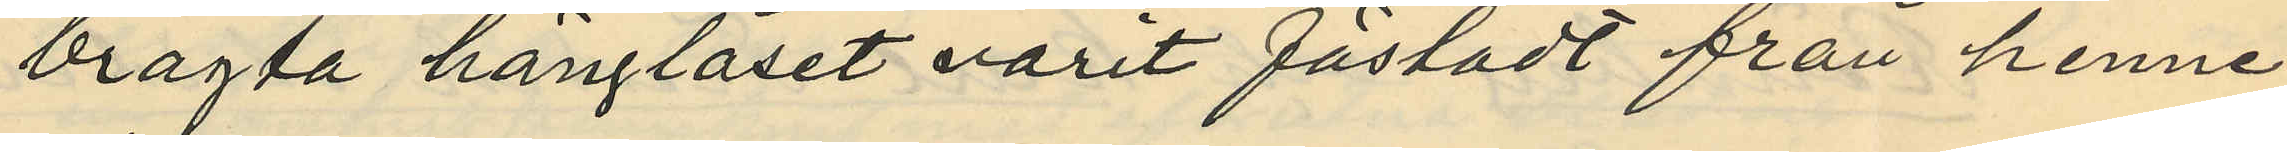bragda hänglåset varit fästadt från henne
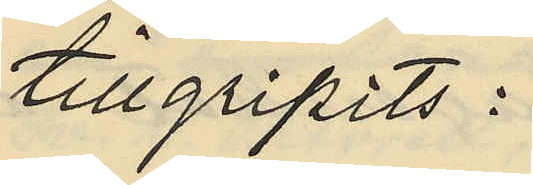tillgripits:
